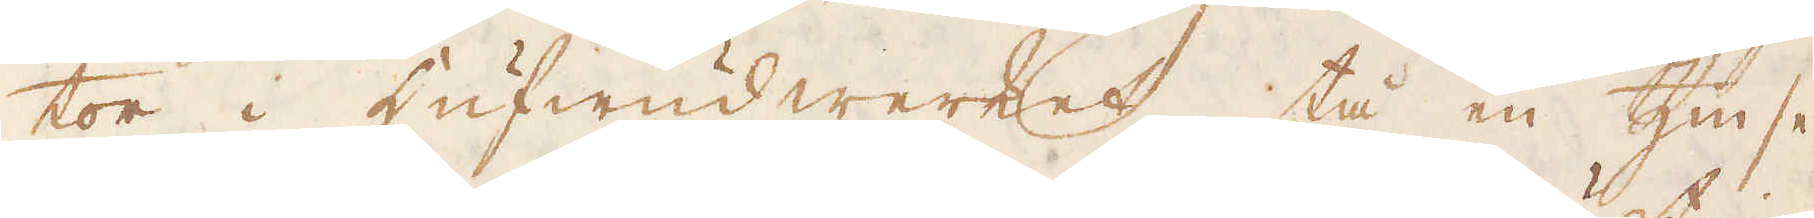tor i Hufwudwerket, tå en Zinse
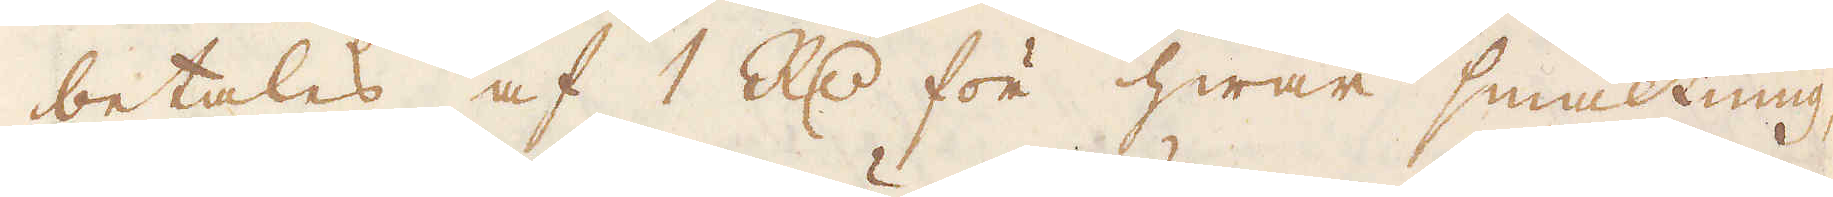betales af 1 R:dr för hwar smältning,
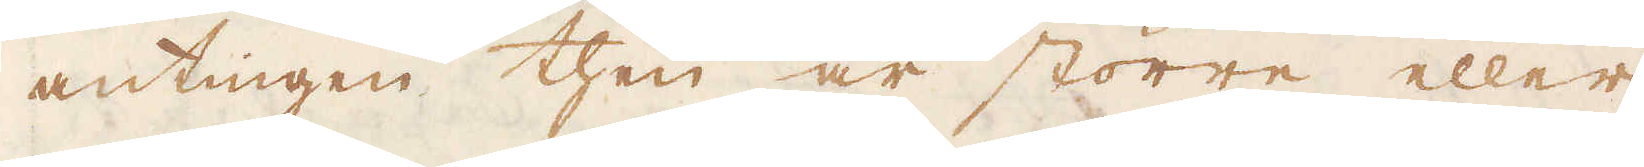antningen then är större eller
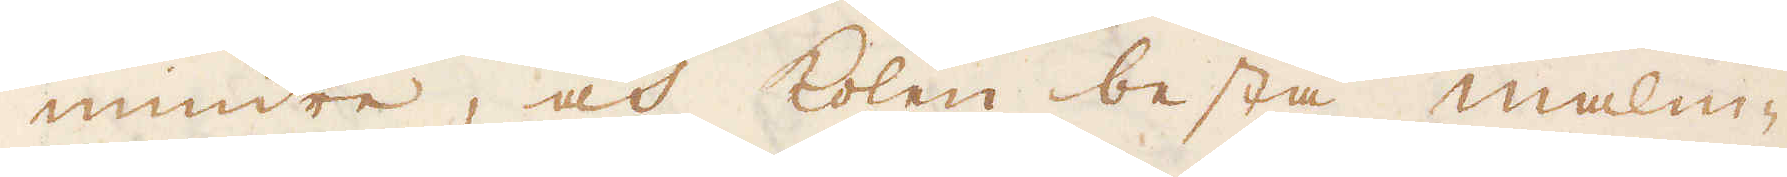mindre, och kolen bestå malm-
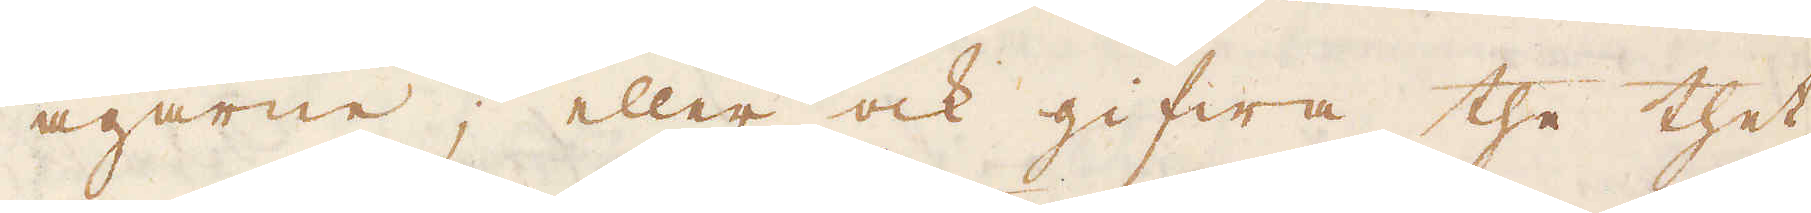ägarne; eller ock gifwa the thet
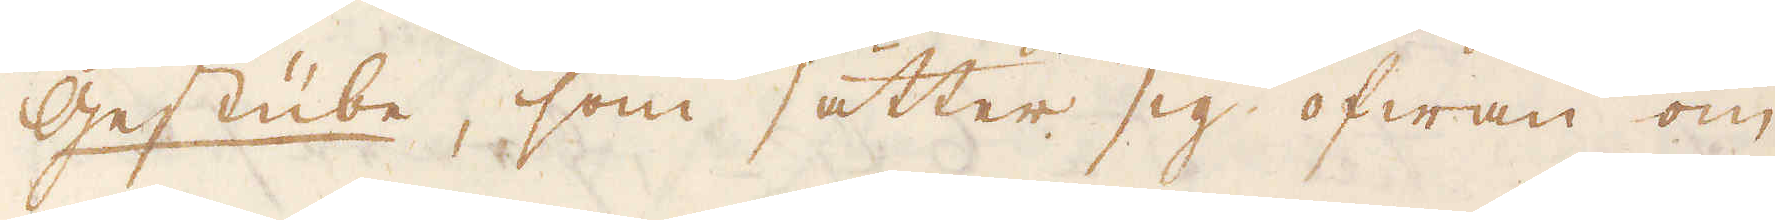Gestübe, som sätter sig ofwan om
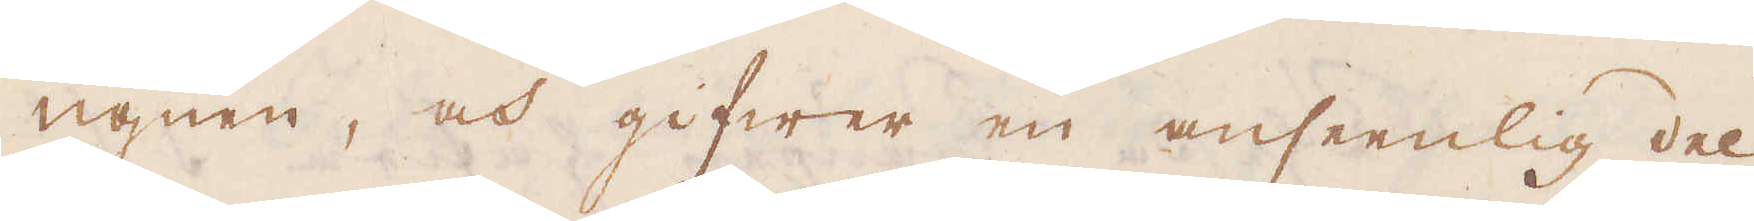ugnen, och gifwer en anseenlig del
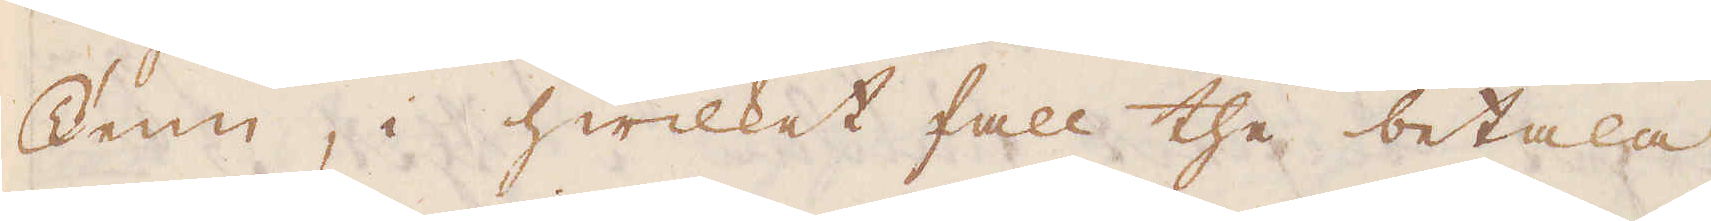Tenn, i hwilket fall the betala
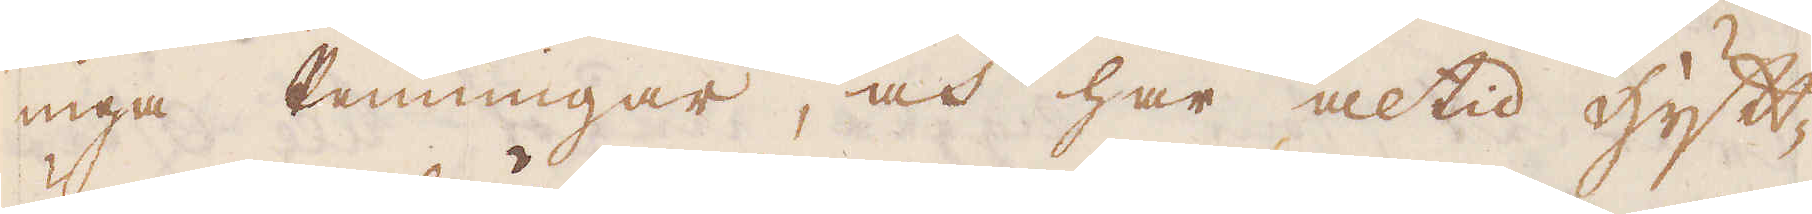inga Penningar, och har altid Hytt-
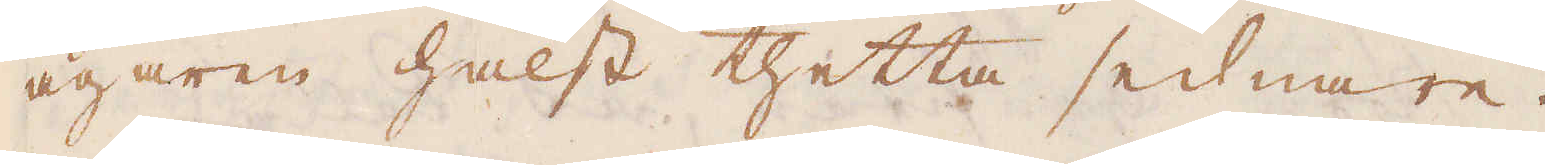ägaren hälst thetta sednare.
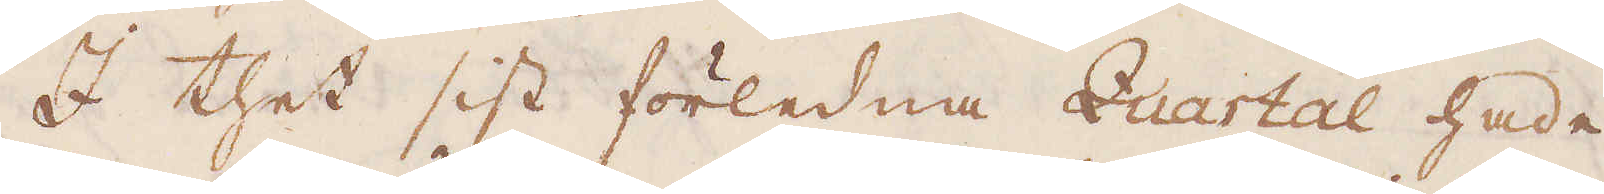I thet sist förledna Quartal hade
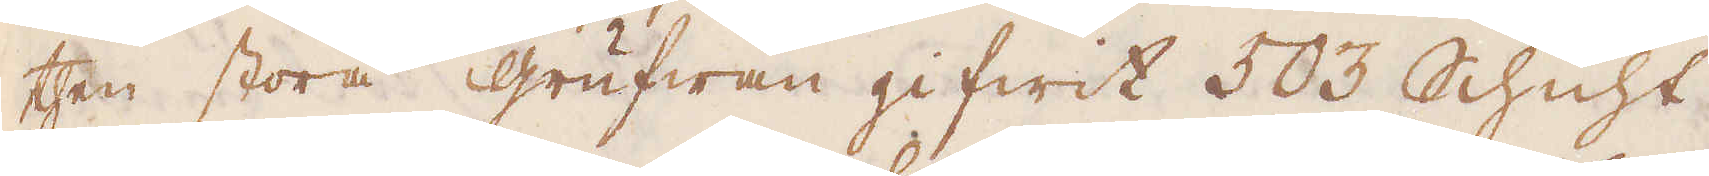then stora grufwan gifwit 503 Schicht
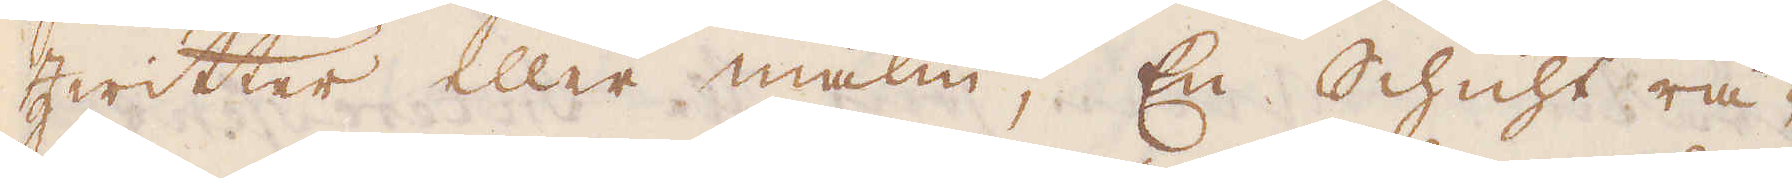Zwitter eller malm; En Schicht rä-
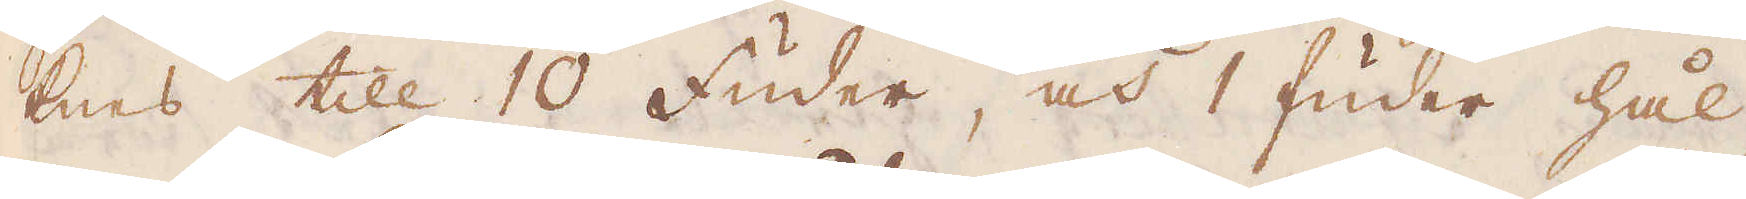knes till 10 Fuder, och 1 Fuder hål-
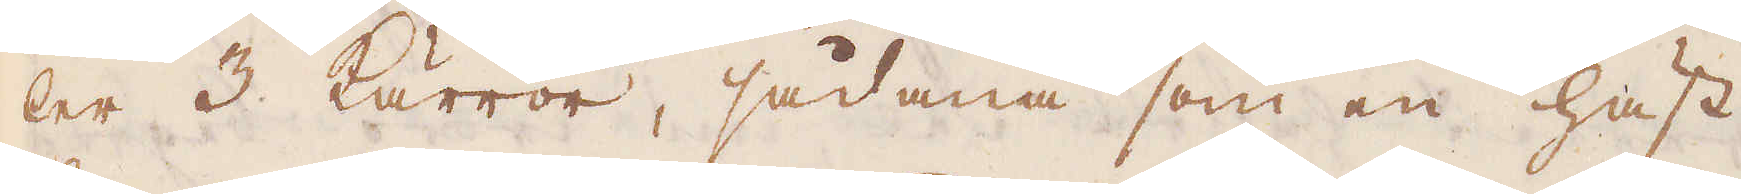ler 3 Kärror, sådana som en häst
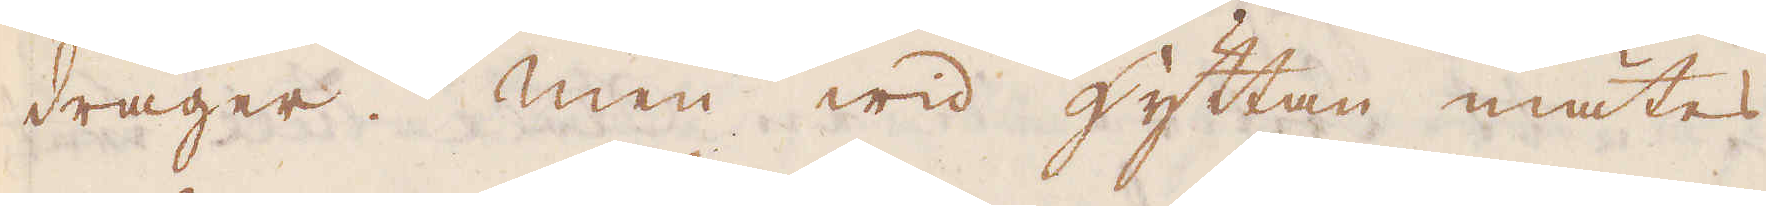drager. Men wid hyttan mätes
